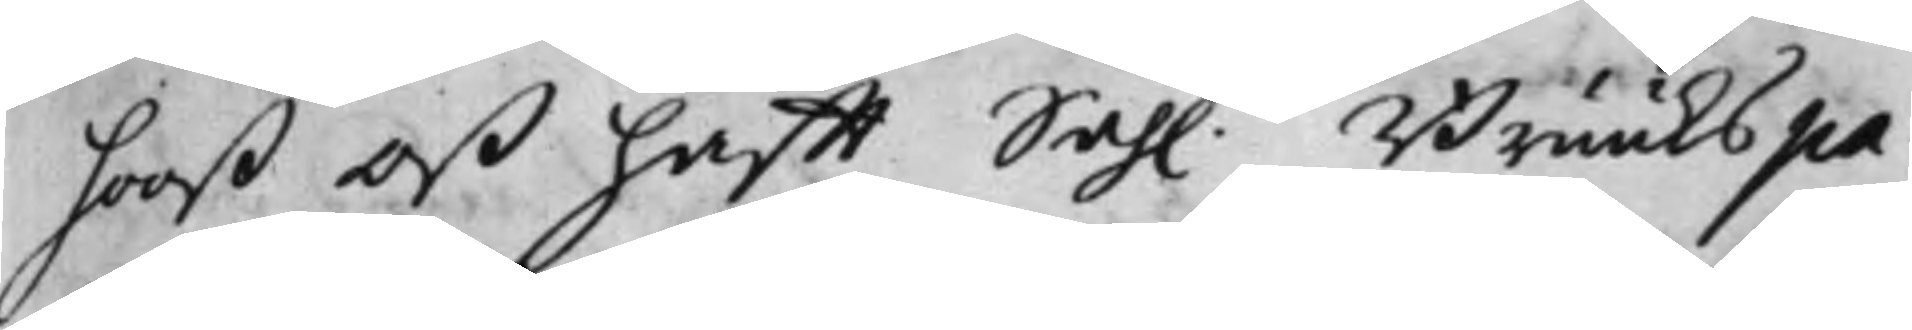hooß oß hafft Sah. Bruukspa¬
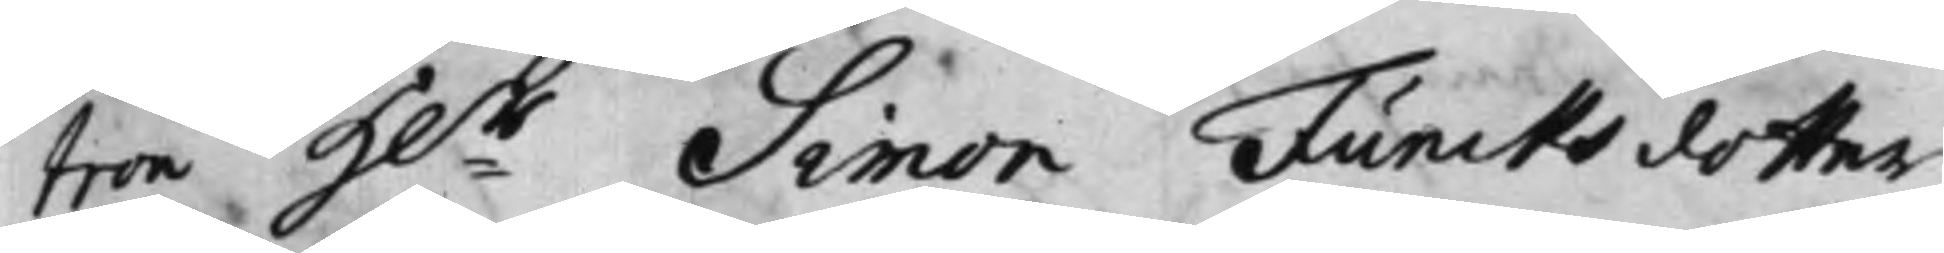tron H:r Simon Funcks dotter
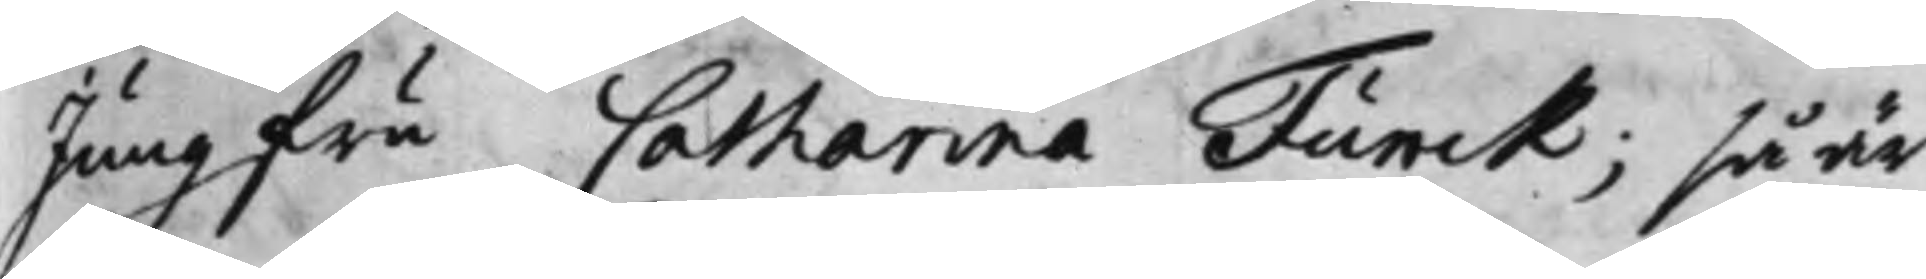Jungfru Catharina Funck; så är
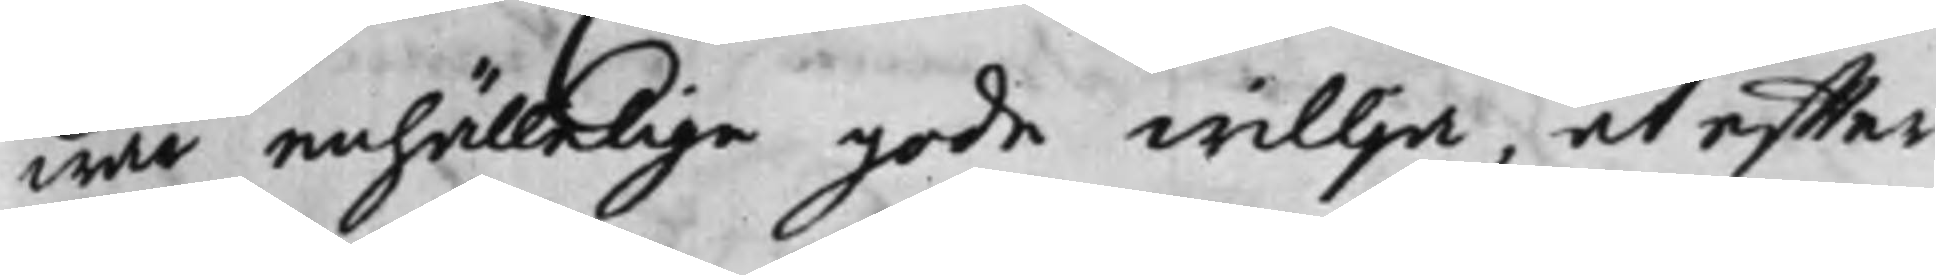wår enhällige gode willja, at effter
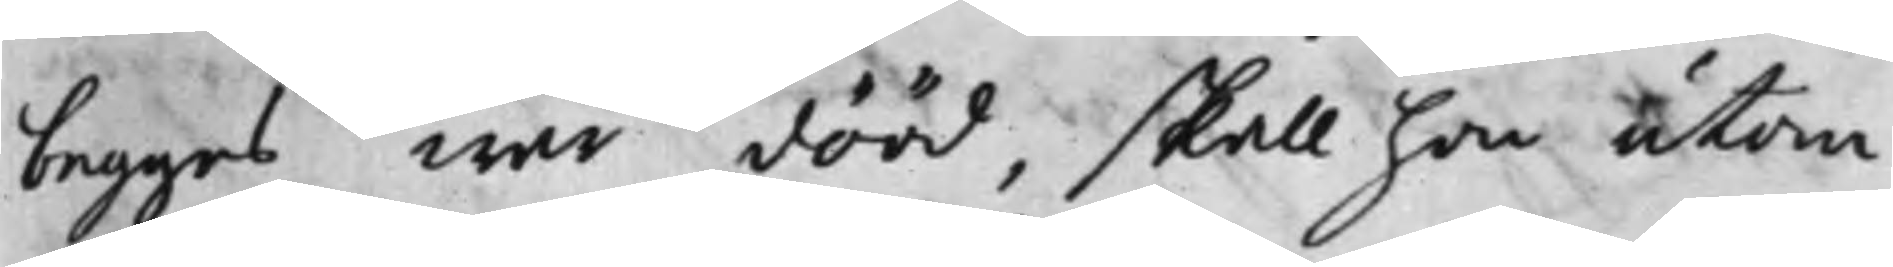begges wår dööd, skall hon utom
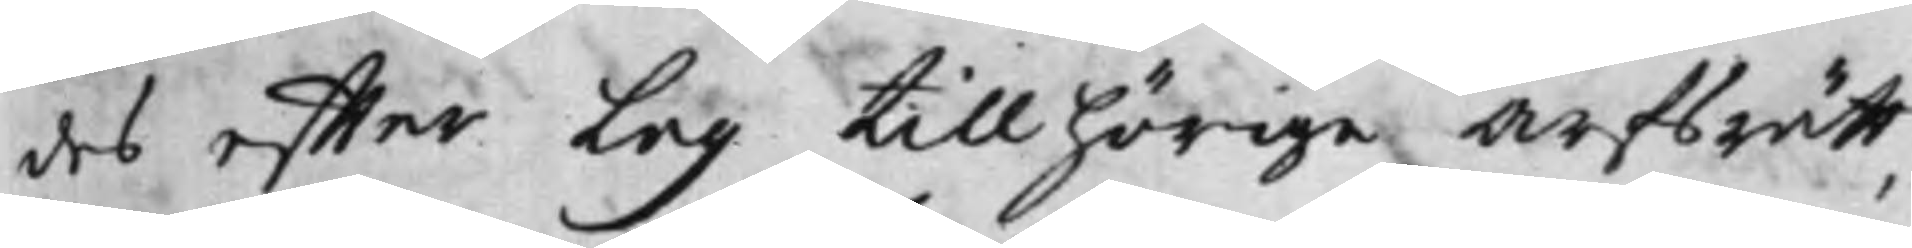des effter Lag tillhörige Arfsrätt,
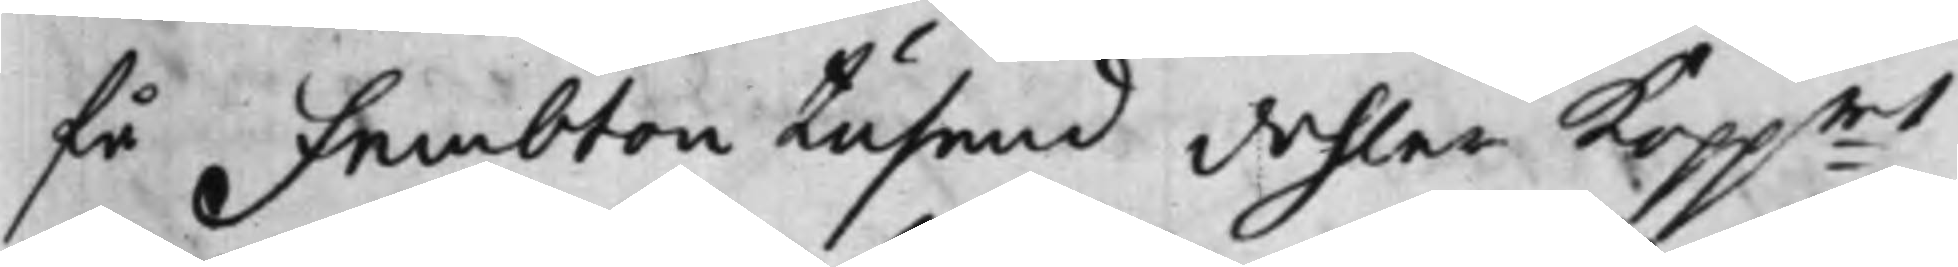få Fembton Tusend dehlar Kopp:mt
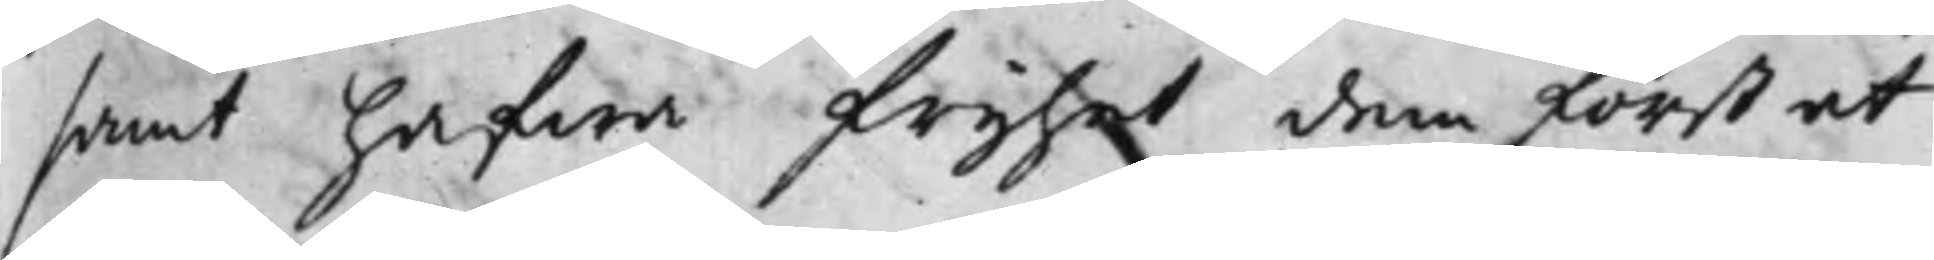samt hafwa frijhet dem först at
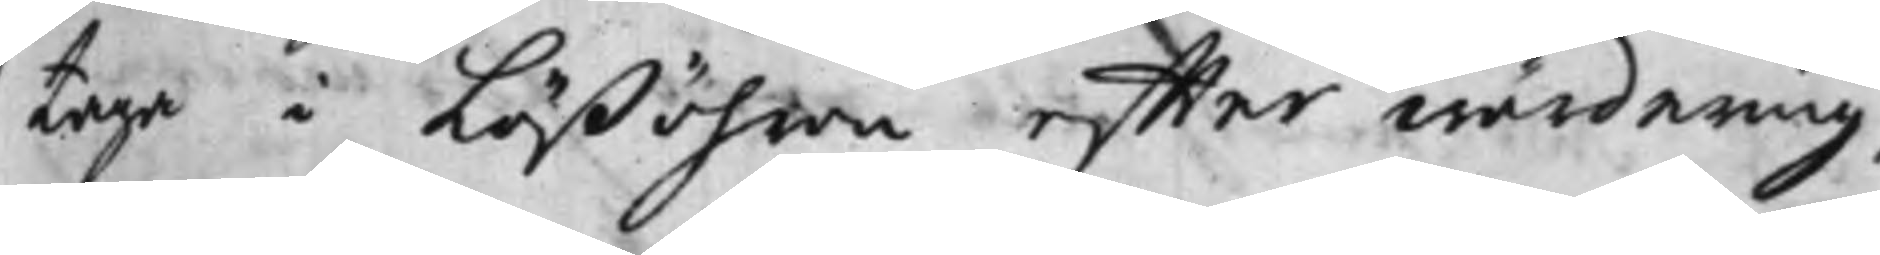taga i Lößöhren effter wärdering,
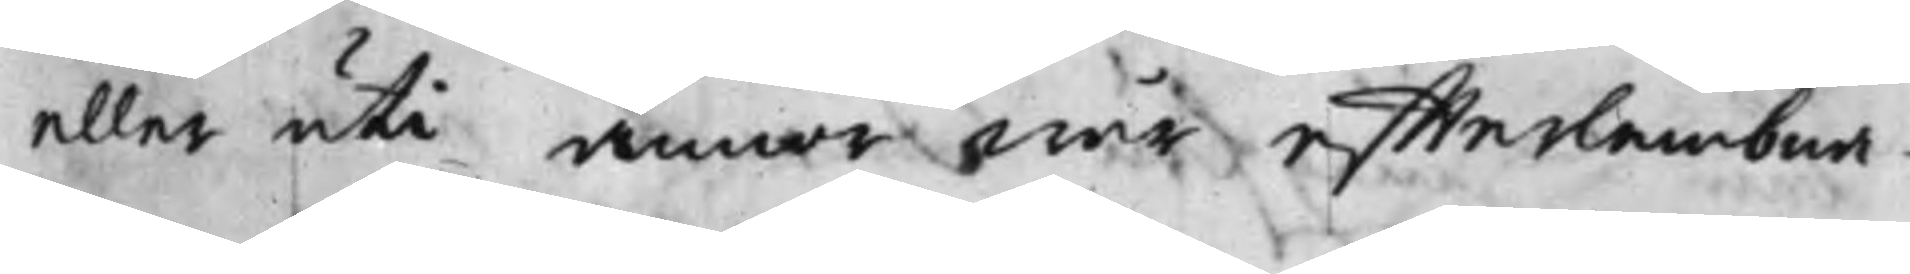eller uti annor wår effterlembna¬
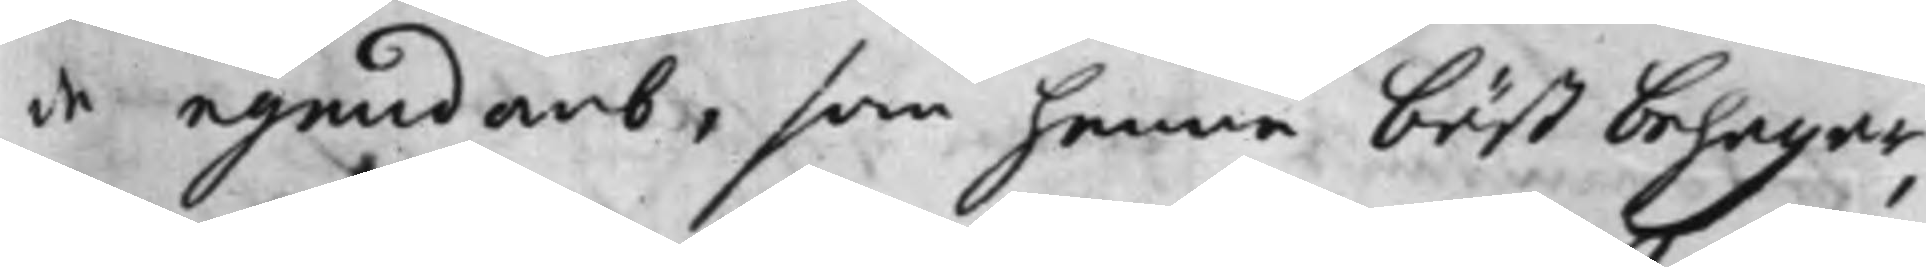de egendomb, som henne bäst behagar,
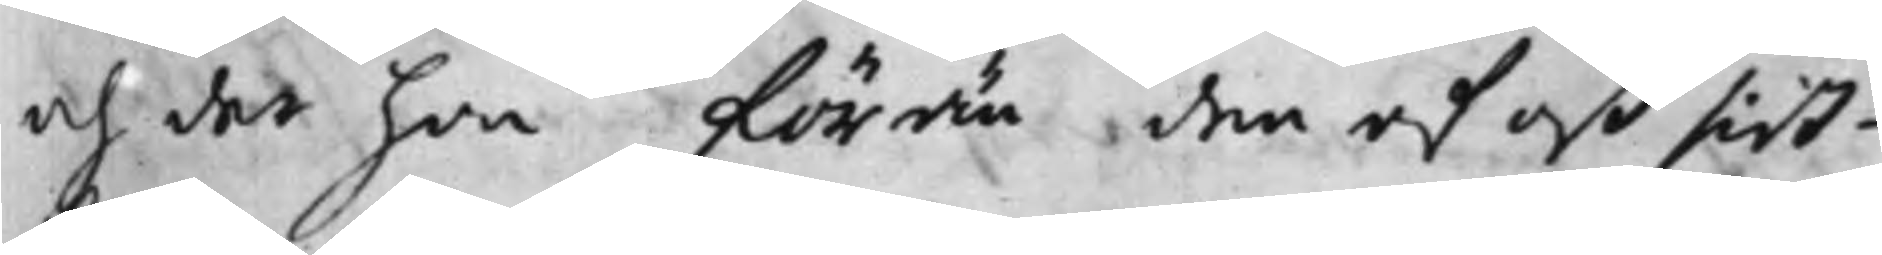och der hon förän den af oß sist¬
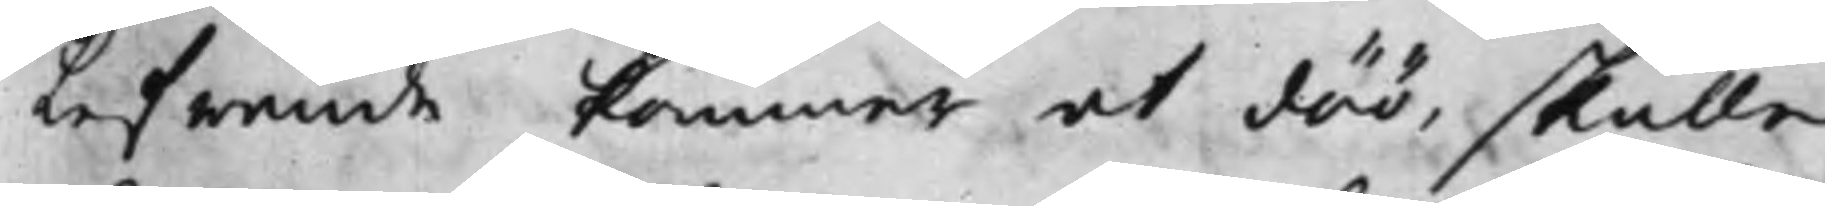lefwande kommer at döö, skulle
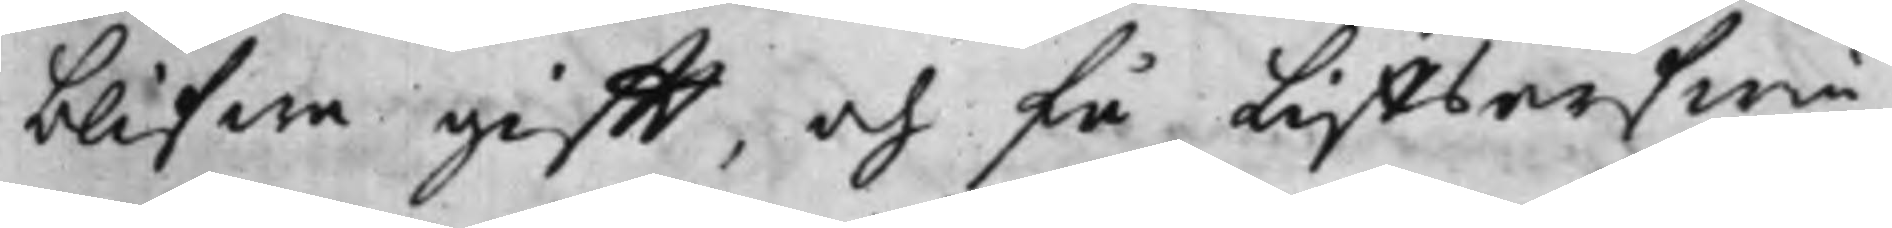blifwa gifft, och få Liffsarfwin¬
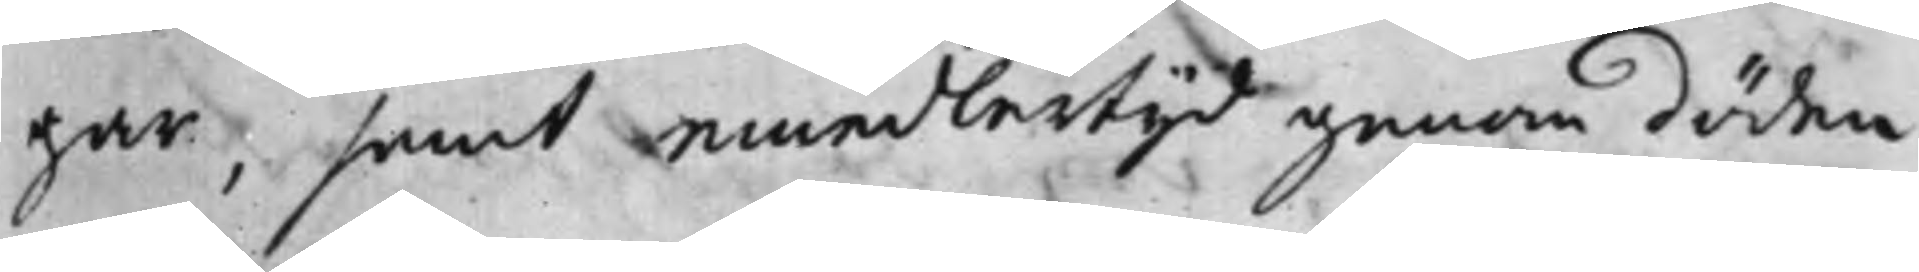gar, samt emedlertijd genom döden
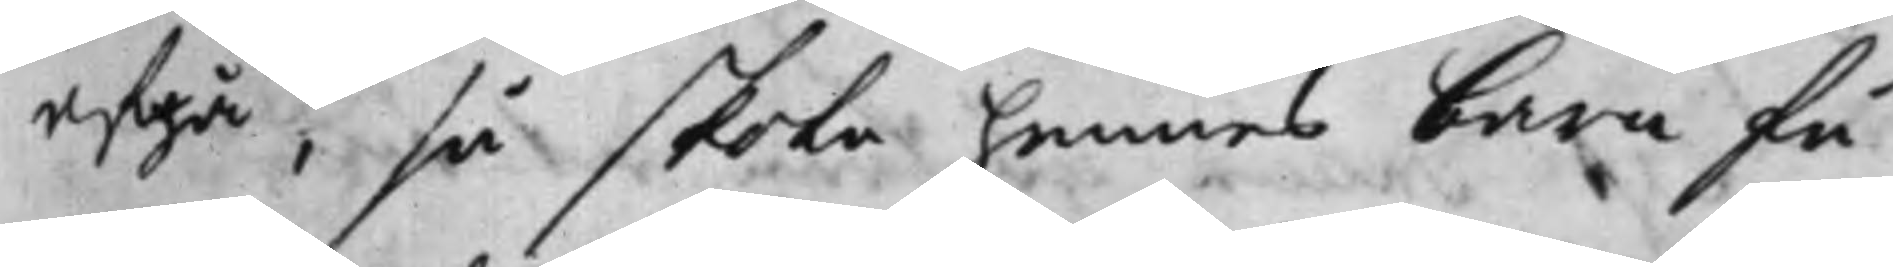afgå, så skola hennes barn få
